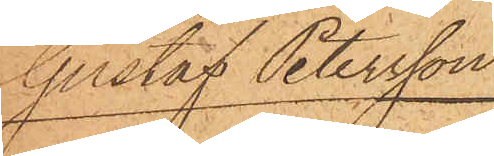Gustaf Petersson
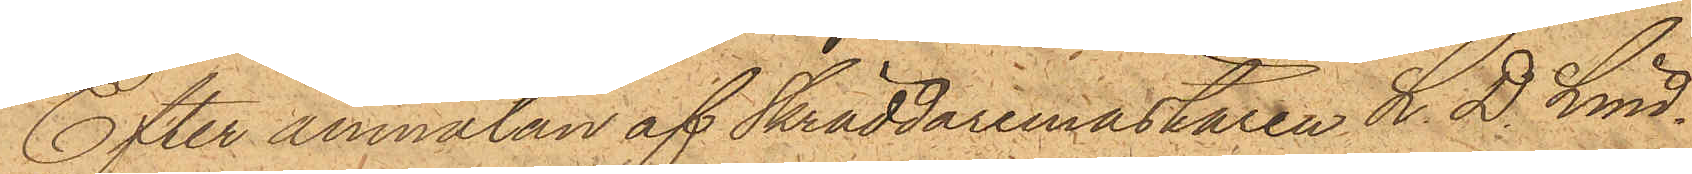Efter anmälan af Skräddaremästaren L. D. Lund¬
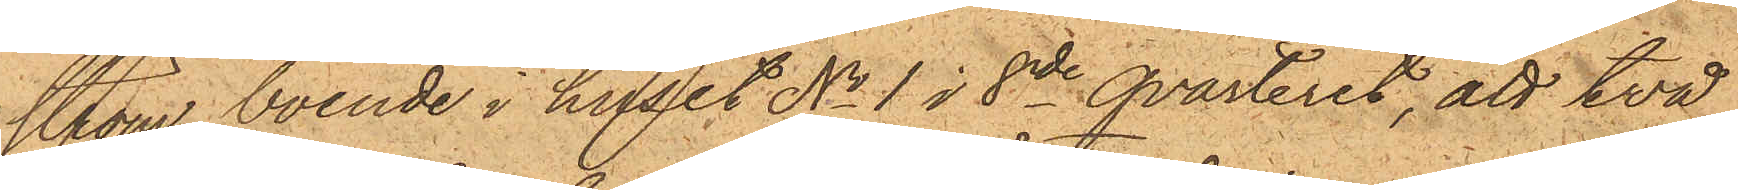ström, boende i huset No 1 i  8de qvarteret, att två
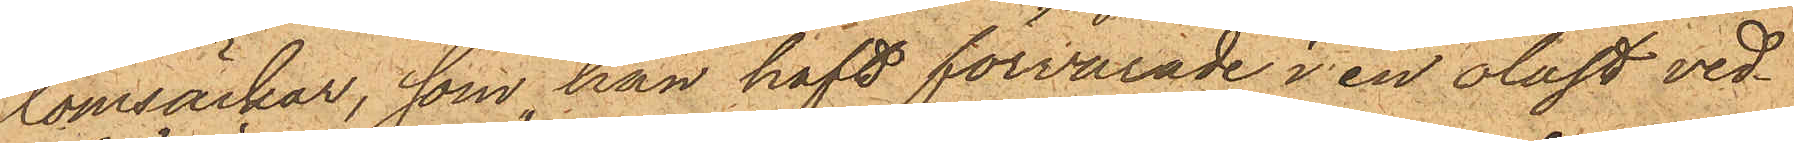tomsäckar, som han haft förvarade i en olåst ved¬
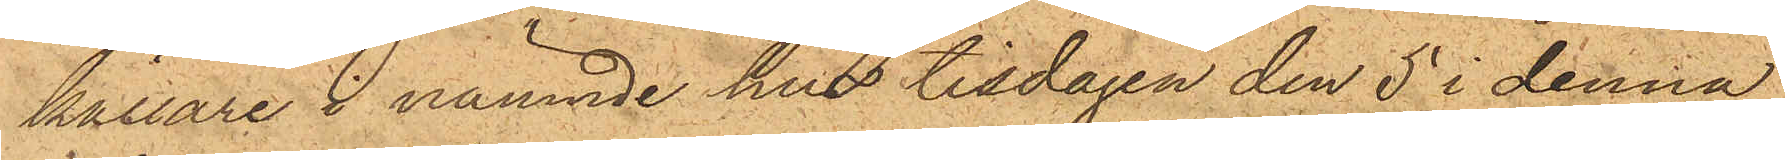källare i nämnde hus tisdagen den 5 i denna
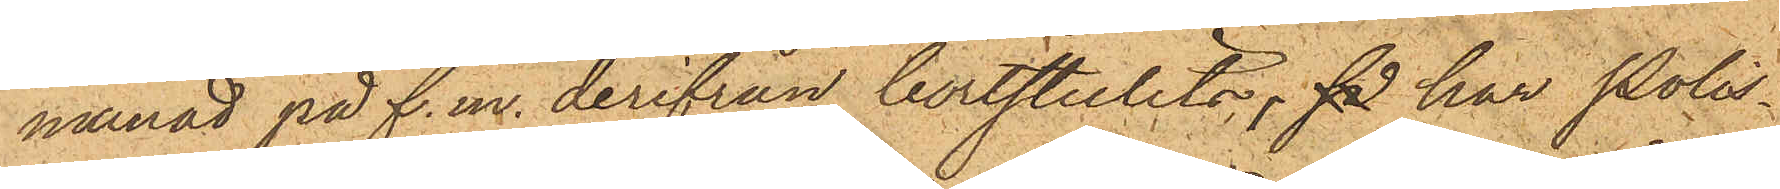månad på f.m. derifrån bortstulits, så har Polis¬
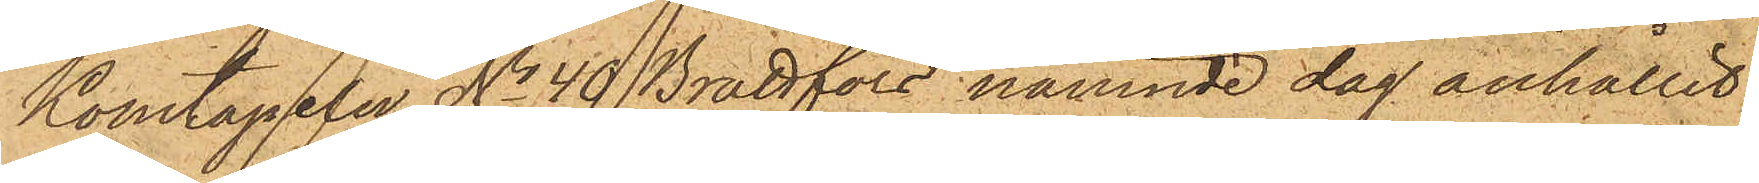konstapeln No 40 Brattfors nämnde dag anhållit
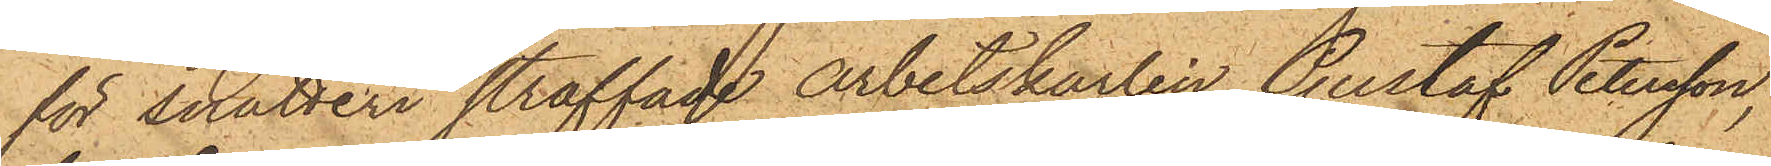för snatteri straffade arbetskarlen Gustaf Petersson,
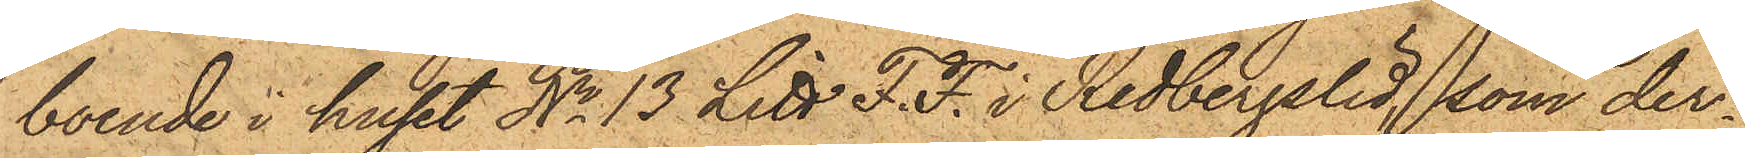boende i huset No 13 Litt. F. F. i Redbergslid, som der¬
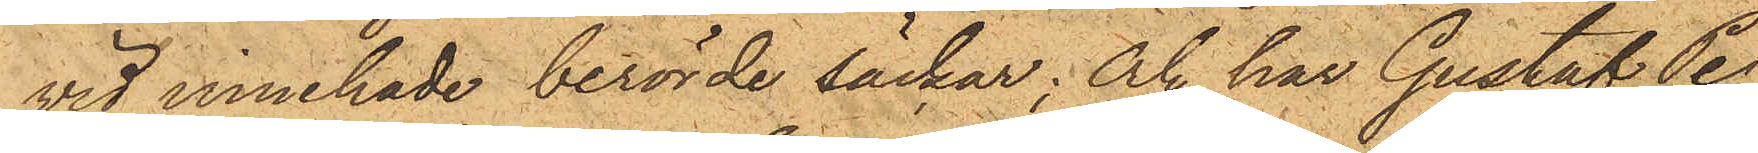vid innehade berörde säckar; och har Gustaf Pe¬
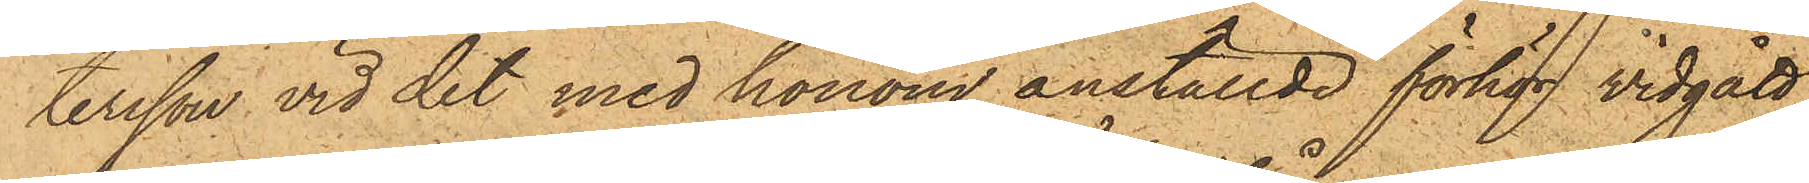tersson vid det med honom anställde förhör vidgått
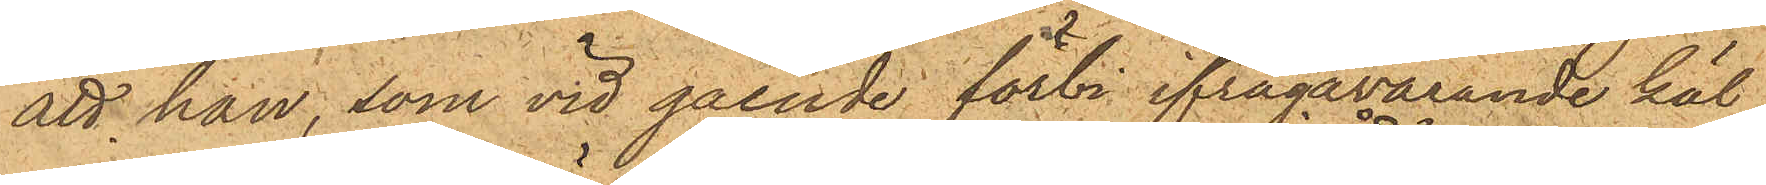att han, som vid gående förbi ifrågavarande käl¬
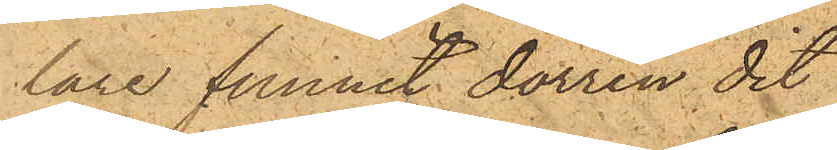lare funnit dörren dit
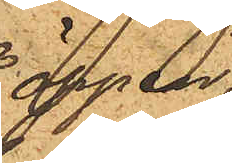öppen,
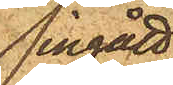ingått
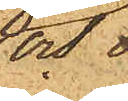och
